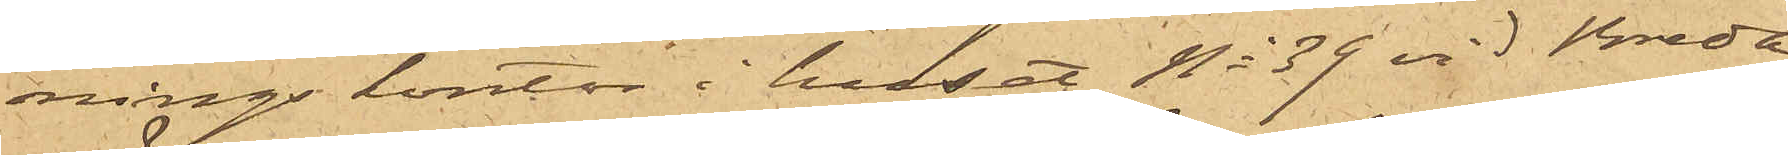nings kontor i huset No 39 vid Breda
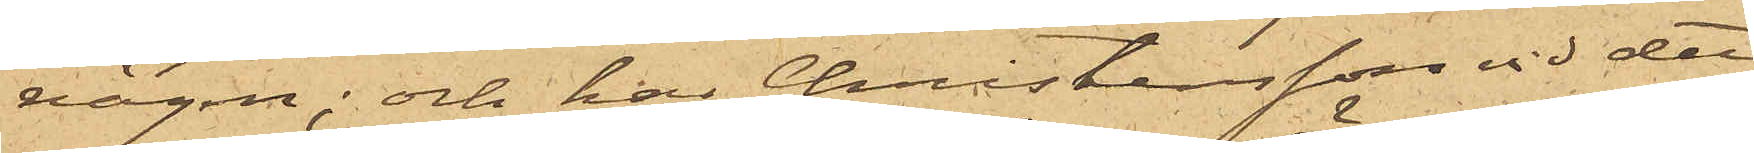vägen; och har Christensson vid det
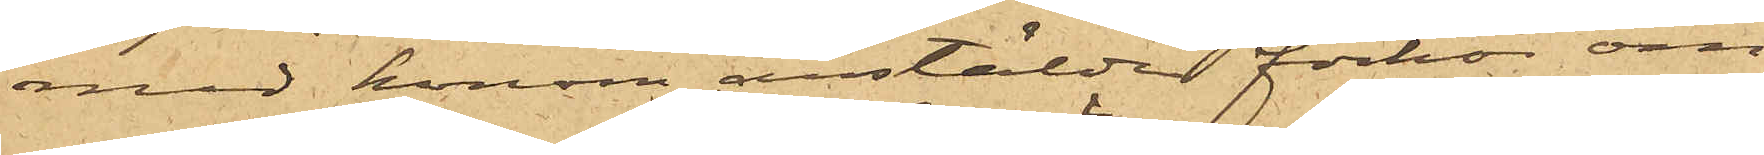med honom anstälda förhör om
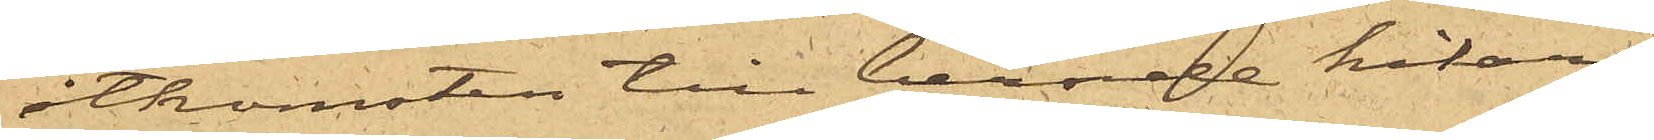åtkomsten till berörde kikare
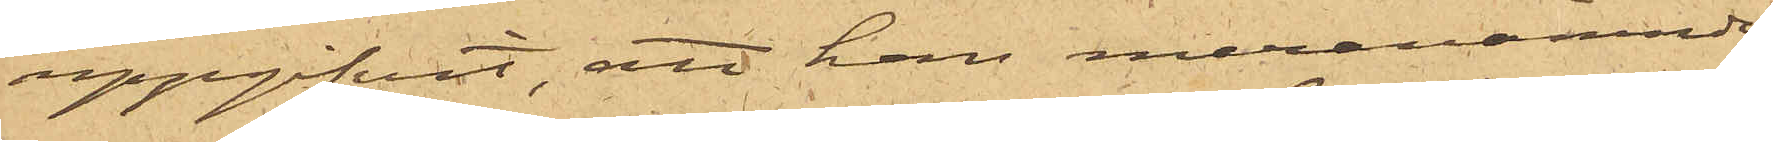uppgifvit, att han ovanomnämnde
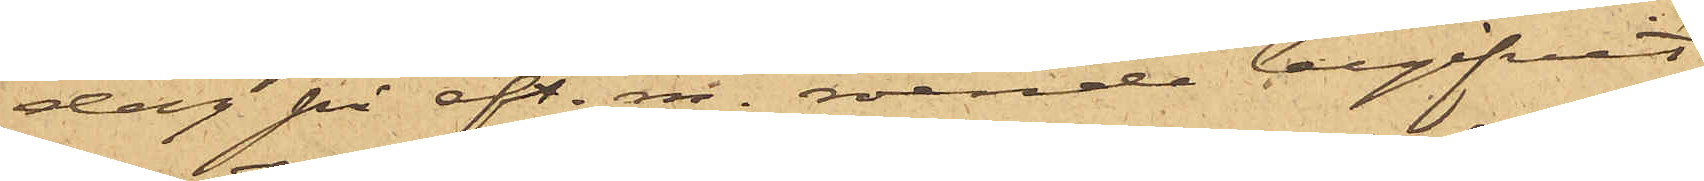dag på eft.m. roende begifvit
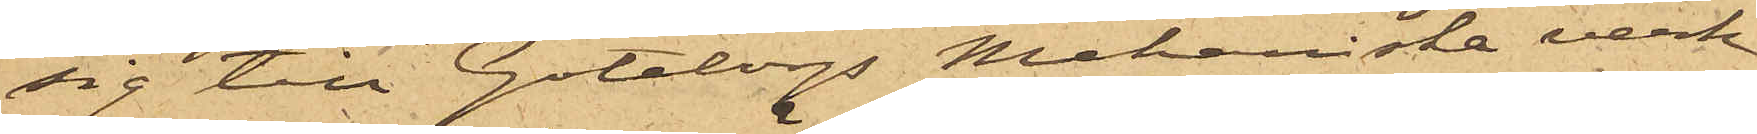sig till Göteborgs Mekaniska verk¬
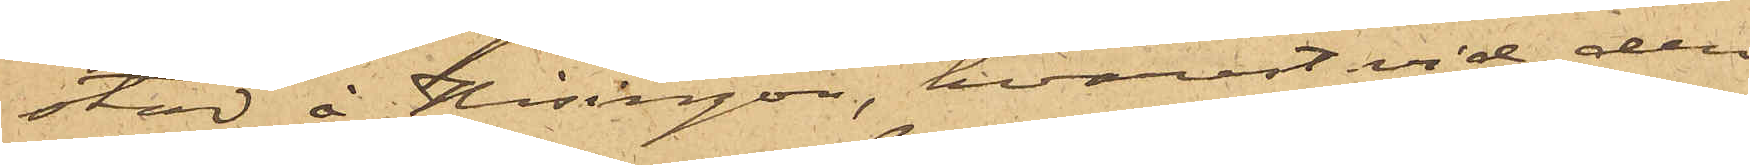stad å Hisingön, hvarest vid den
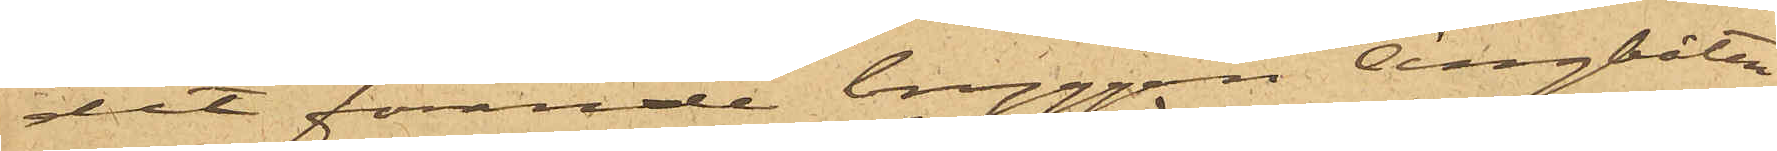dit förande bryggan ångbåten
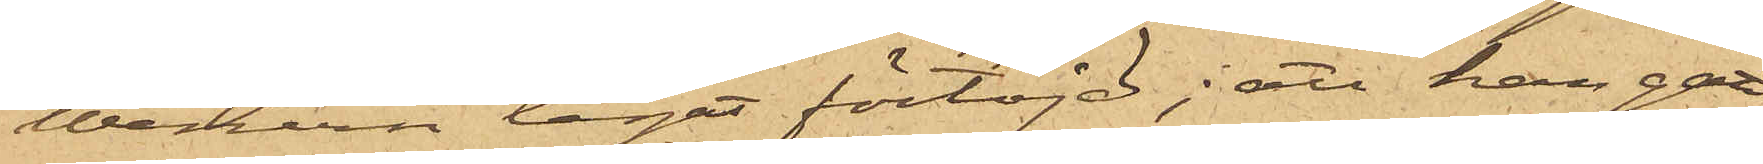Wenern legat förtöjd; att han gått
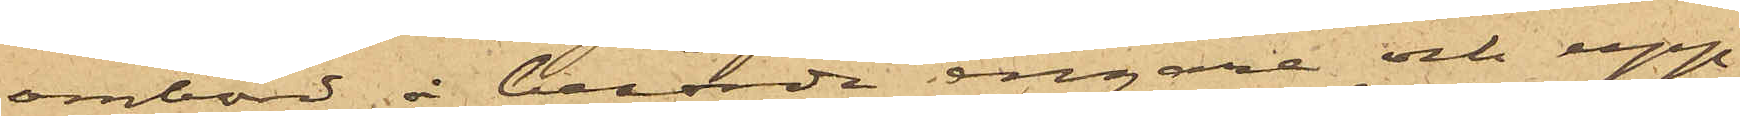ombord å berörde ångare och upp¬
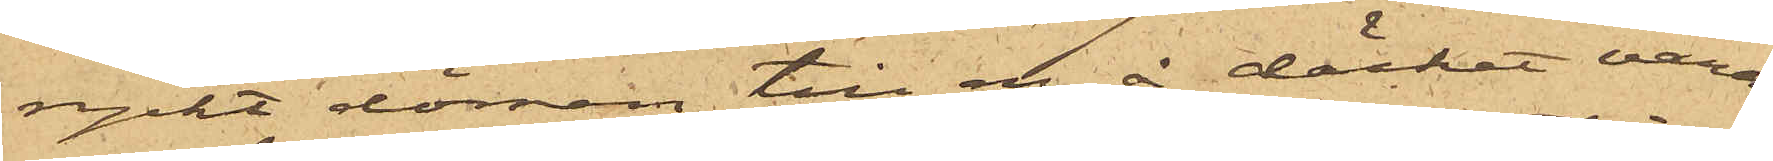ryckt dörren till en å däcket varan¬
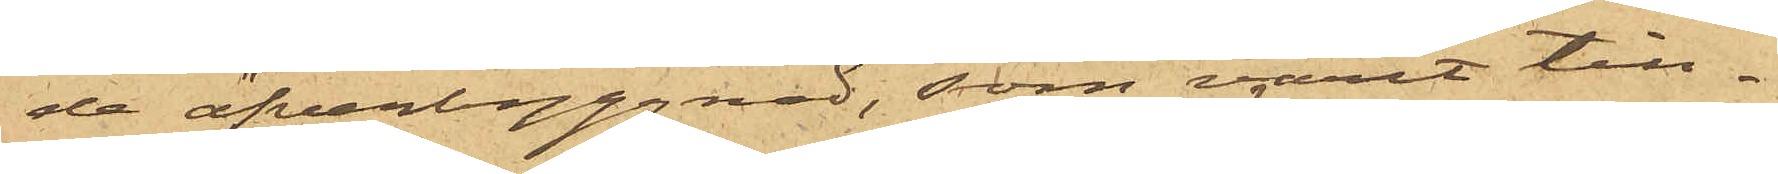de öfverbyggnad, som varit till¬
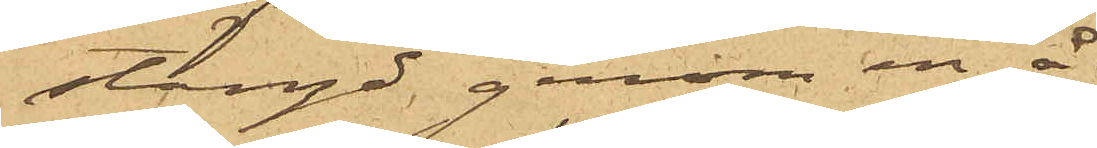stängd genom en å
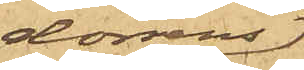dörrens
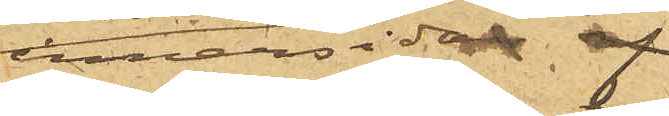innansida 
